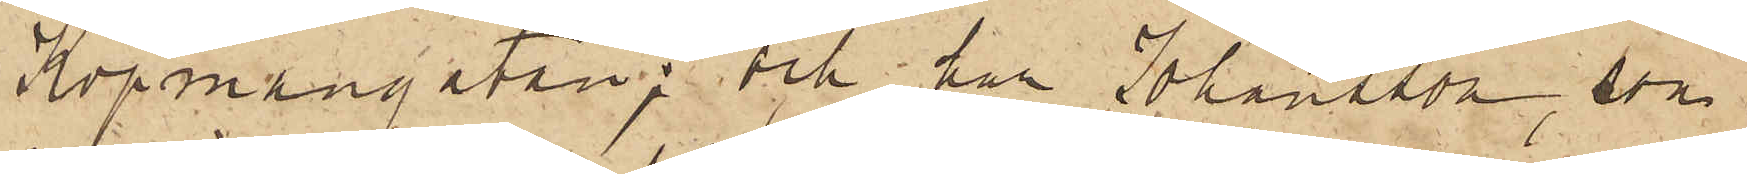Köpmangatan; och har Johansson, som
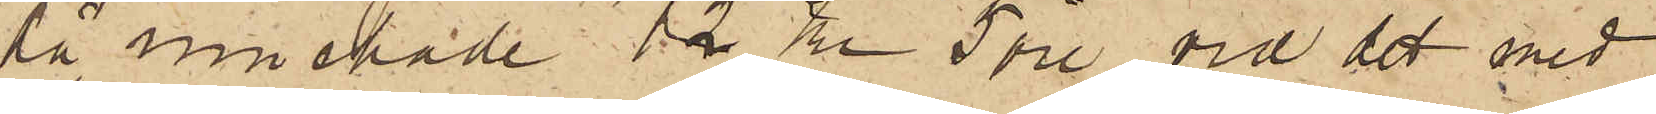då innehade 12 Kr 5 öre, vid det med
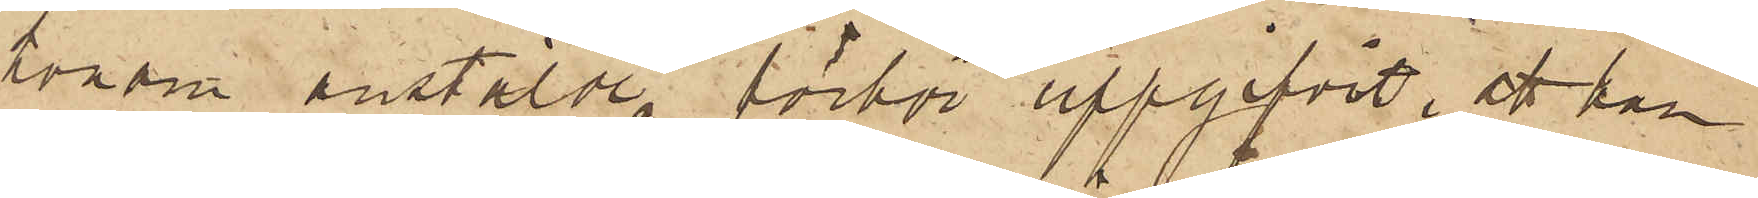honom anstälde förhör uppgifvit, att han
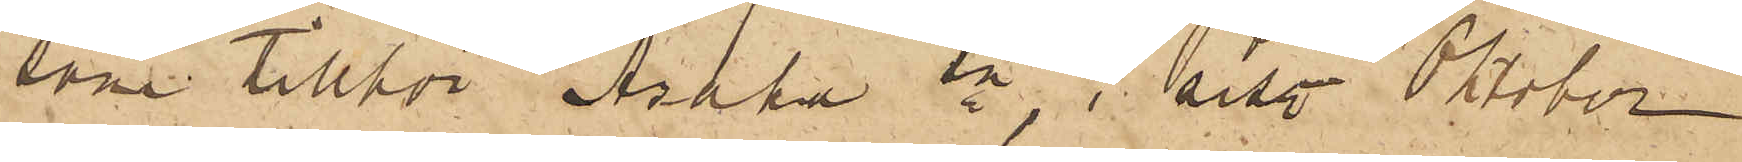som tillför Åsaka sn, i  sist. Oktober
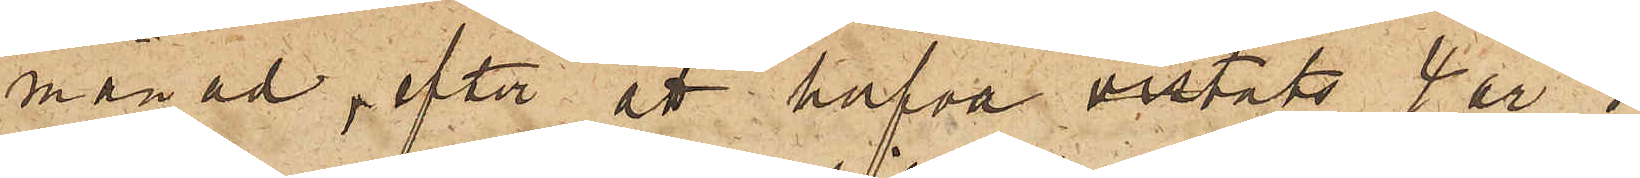månad, efter att hafva vistats 4 år  i  
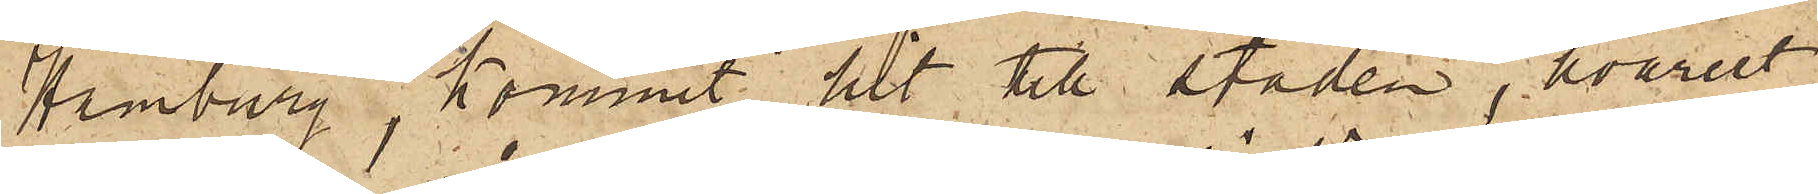Hamburg, kommit hit till staden, hvarest
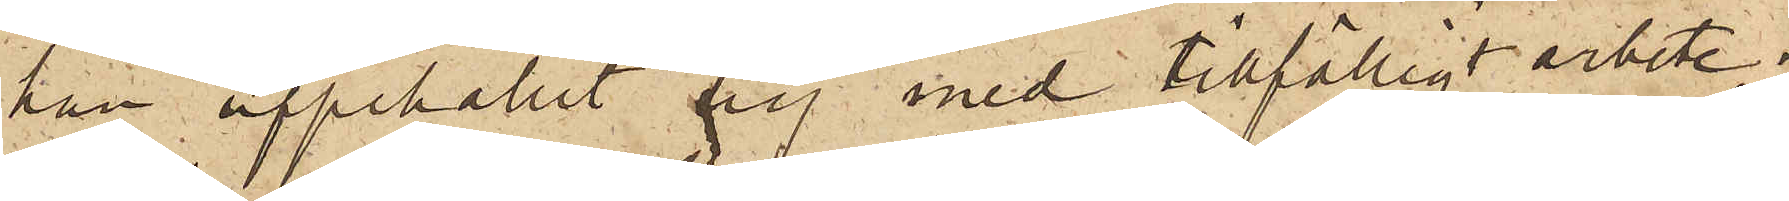han uppehållit sig med tillfälligt arbete;
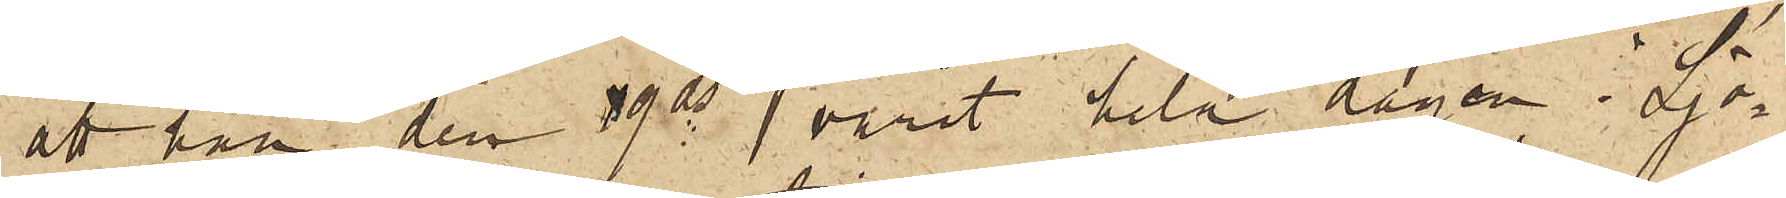att han den 9 ds varit hela dagen i Sjö¬
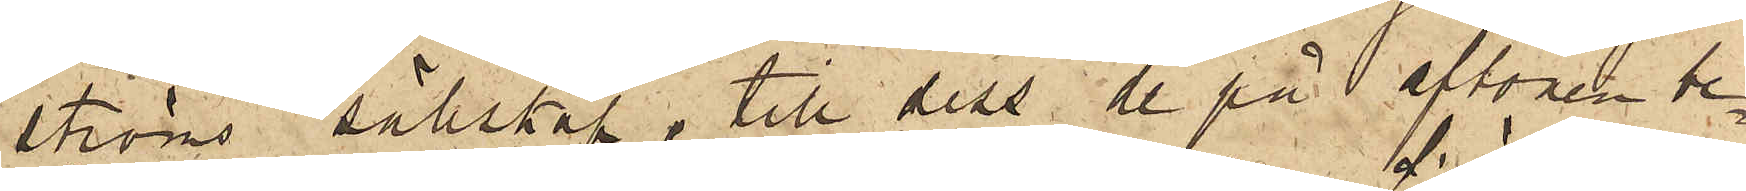ströms sällskap, till dess de på afton be¬
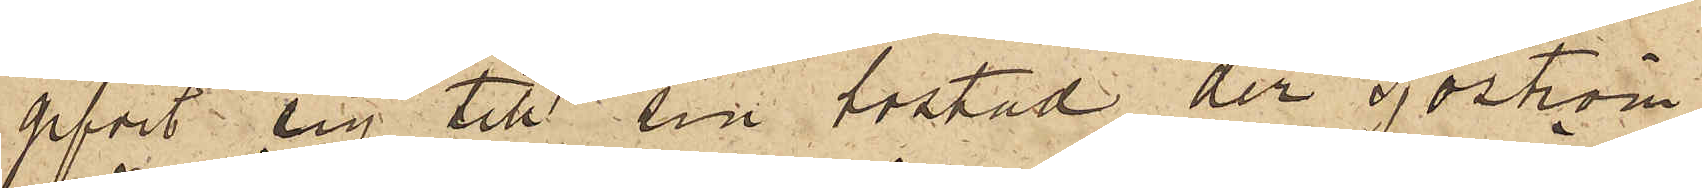gifvit sig till sin bostad, der Sjöström
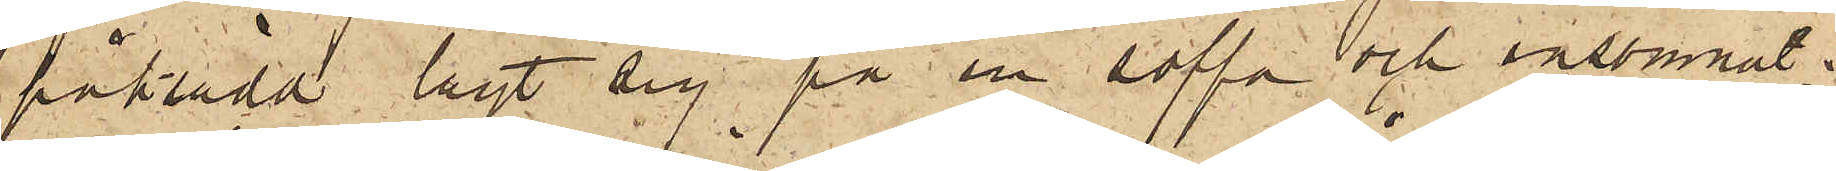påklädd lagt sig på en soffa och insomnat;
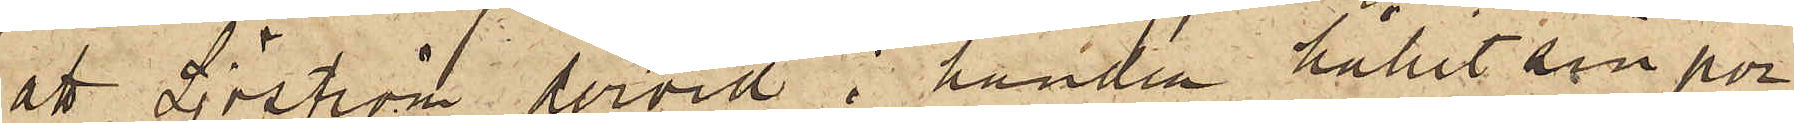att Sjöström dervid i handen hållit sin por¬
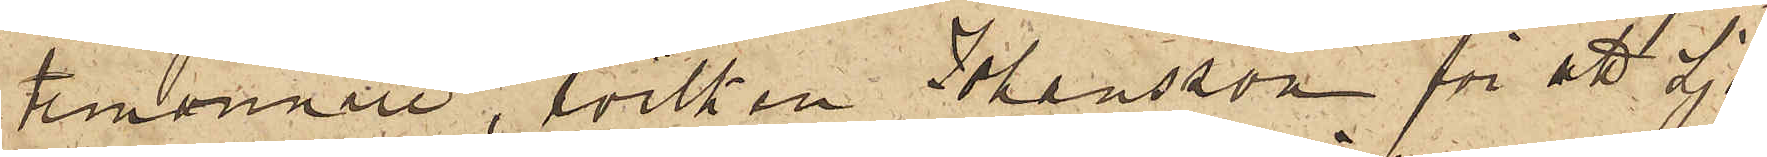temonnaie, hvilken Johansson för att Sjö¬
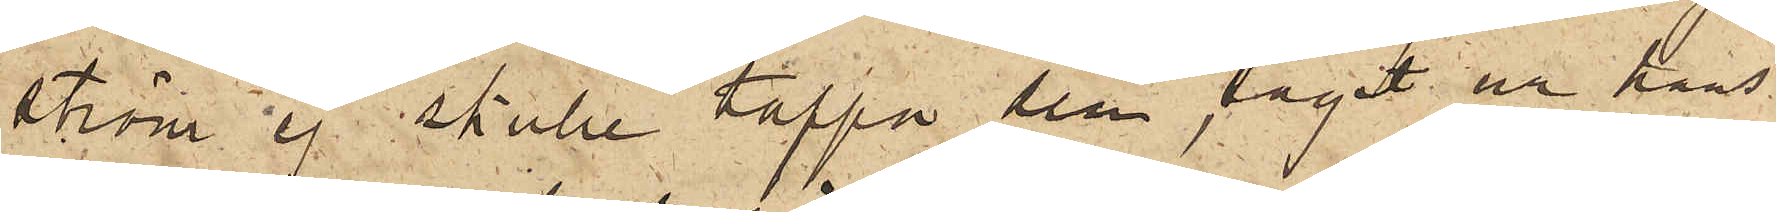ström ej skulle tappa den, tagit ur hans
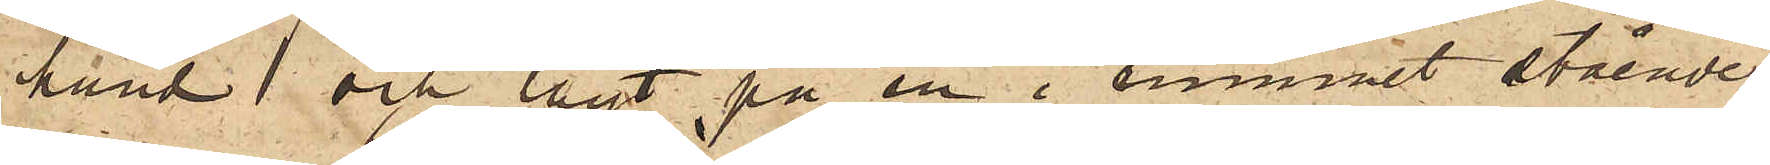hand och lagt på en i rummet stående
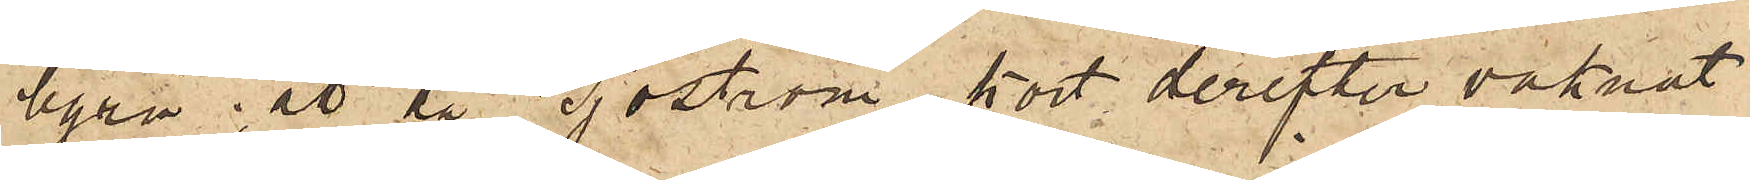byrå; att då Sjöström kort derefter vaknat
